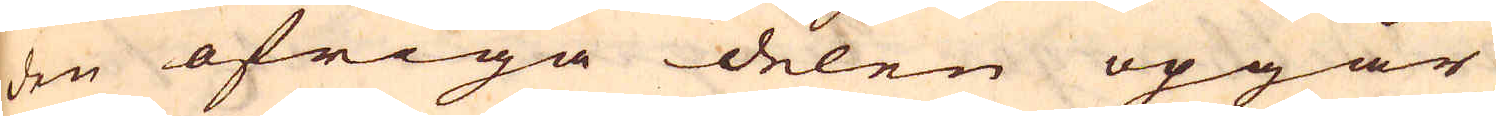den öfriga delen opgår
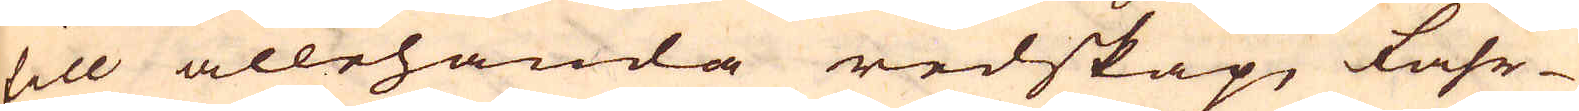till allehanda redskap, fahr-
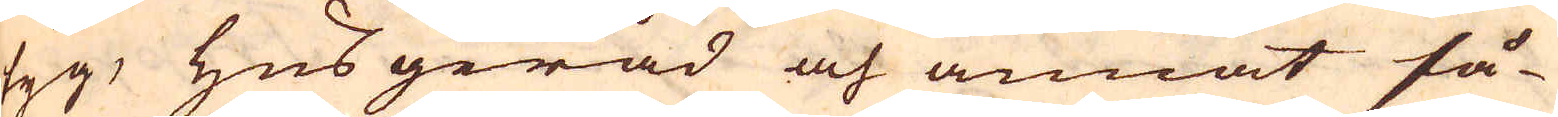tyg, husgeråd och annat så-
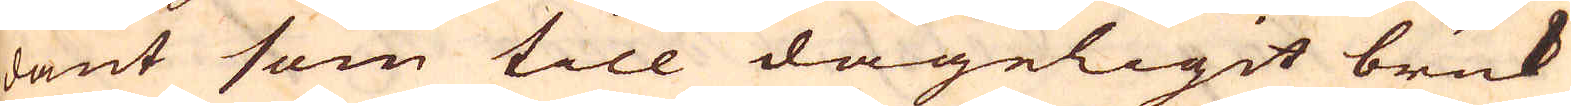dant som till dageligit bruk
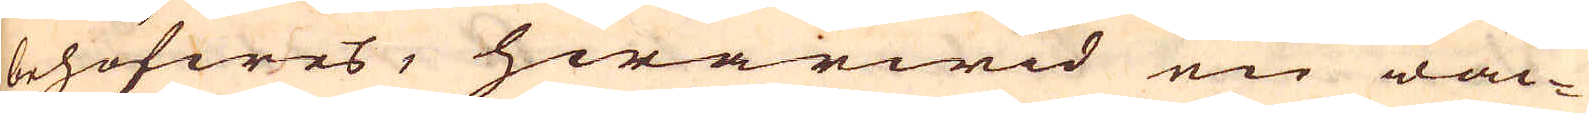behöfwes, hwarwid en wac-
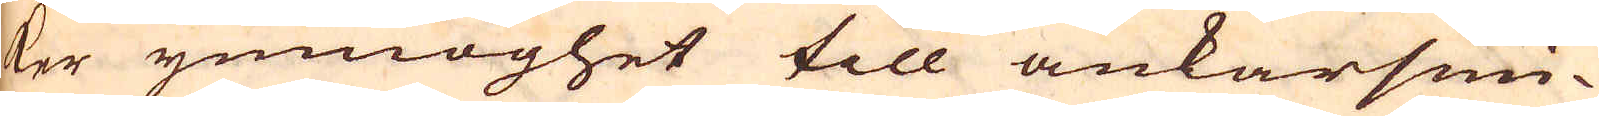ker ymnoghet till ankarsmi-
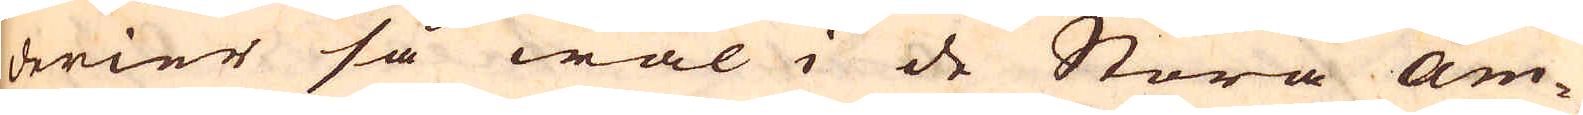derier så wäl i de Stora Am-
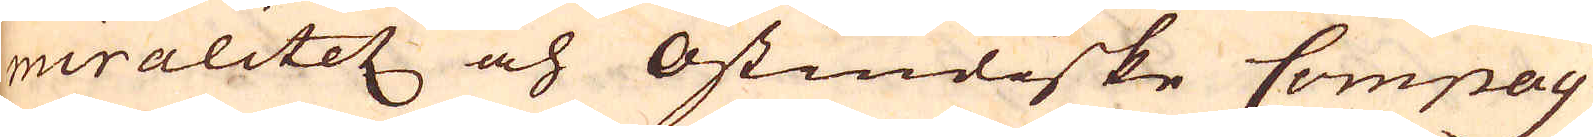riralitetz och Ostindiske Compag-
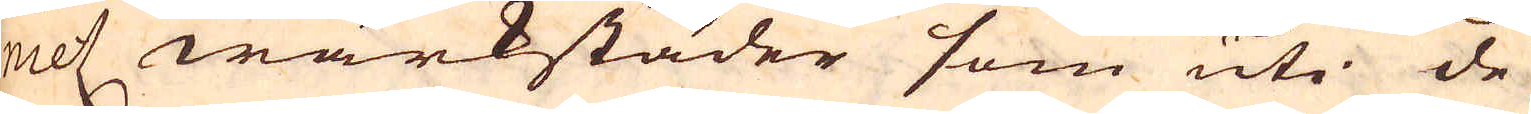nietz wärkstäder som uti de
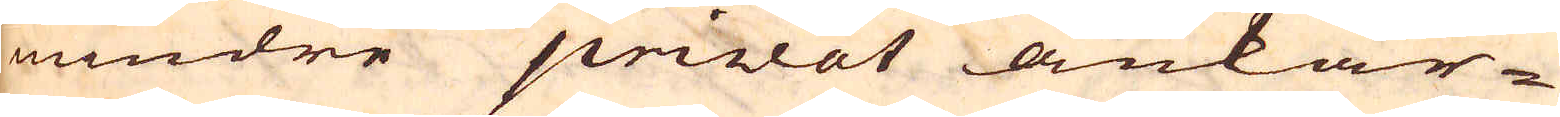mindre pivat ankar-
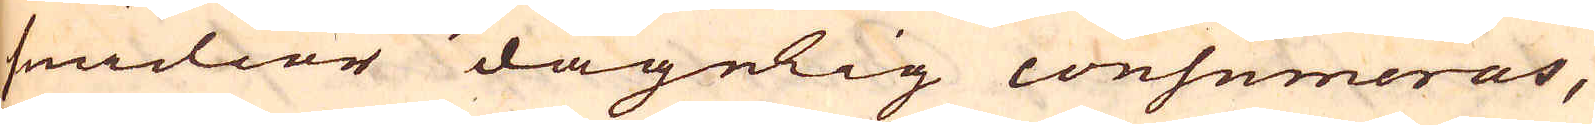smidior dagelig consumeras,
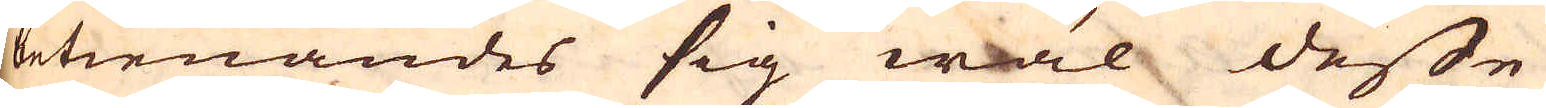betienandes sig wäl desse
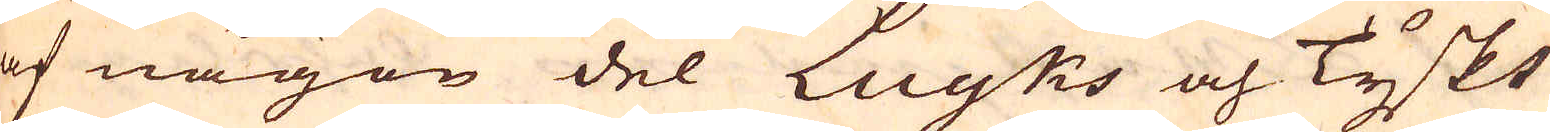af någon del Luyks och Tyskt
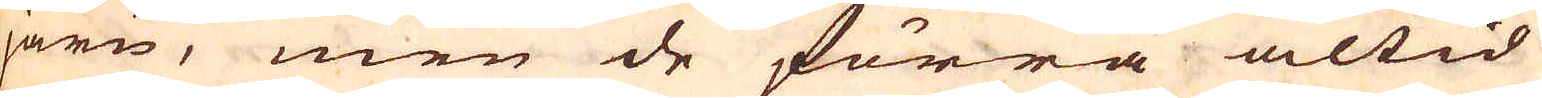järn, men de förra altid
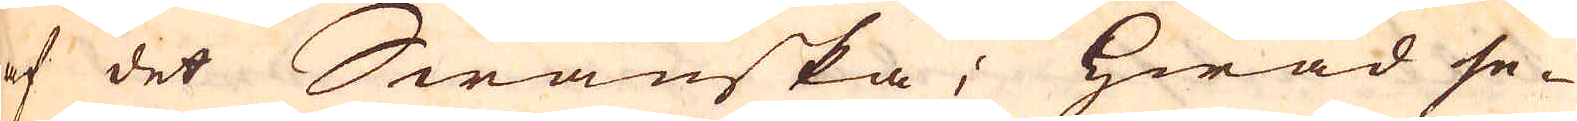af det Swänska; Hwad se-
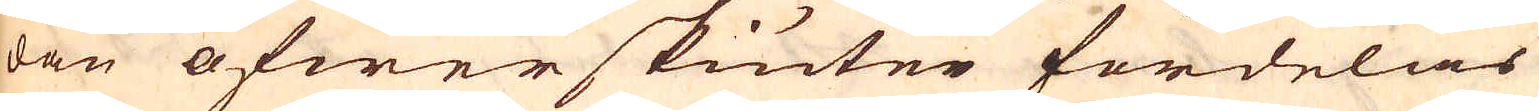dan öfwerskiuter fördelas
